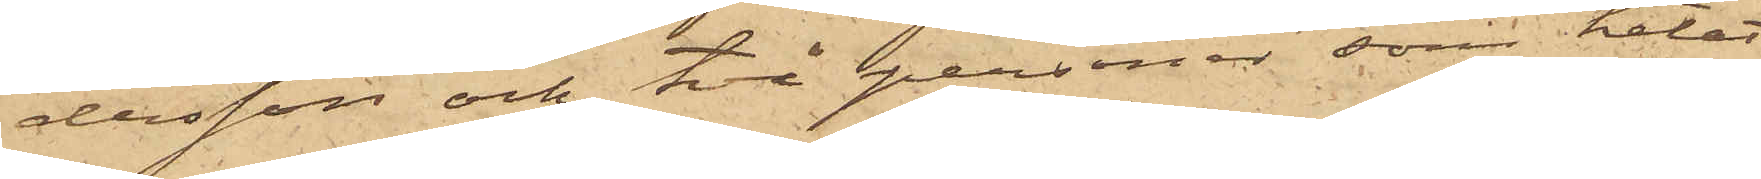dersson och två personer, som hetat
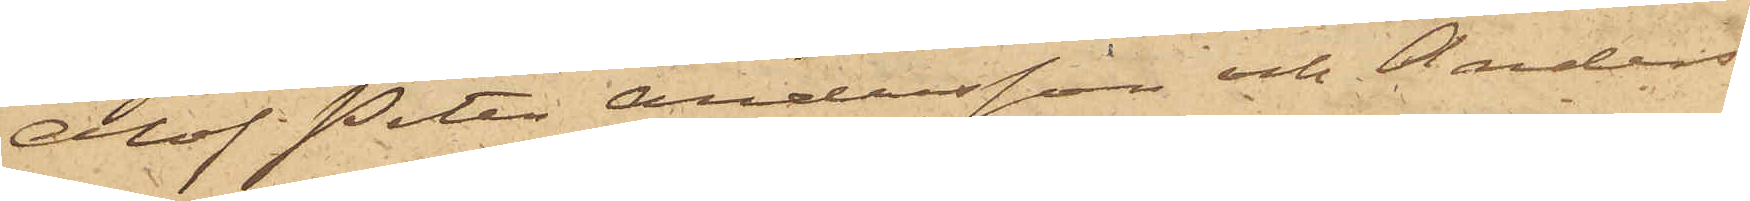Olof Peter Andersson och Anders
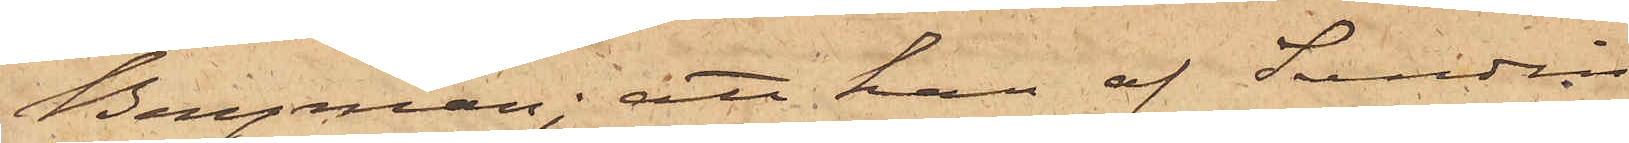Bergman; att han af Sandin
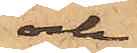och
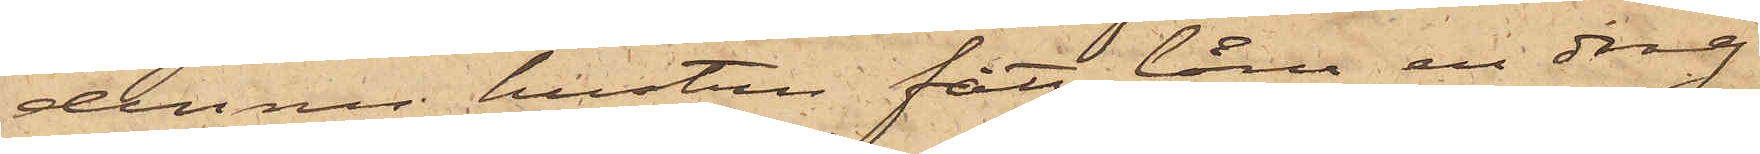dennes hustru fått låna en drag¬
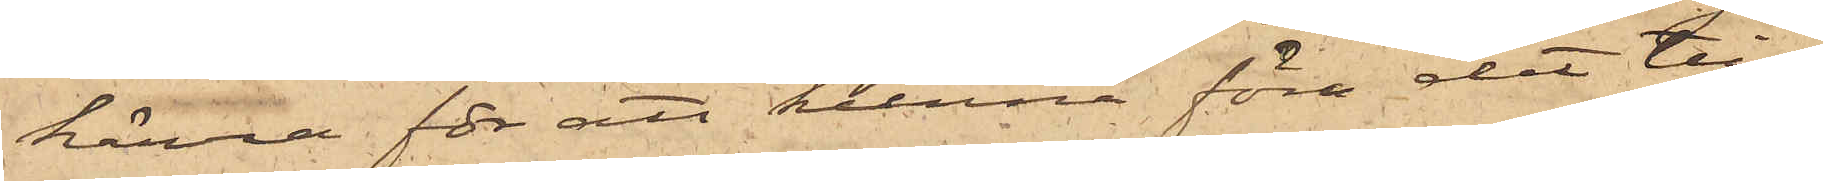kärra för att kunna föra det till¬
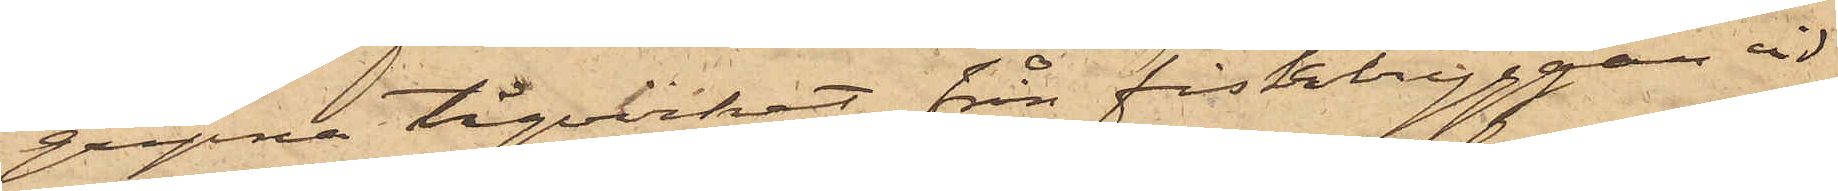gripne tågvirket från fiskbryggan vid
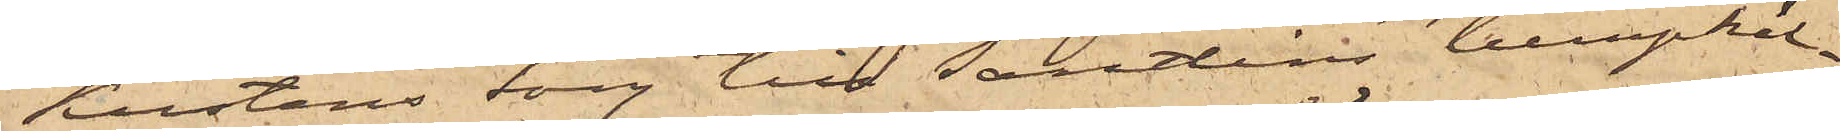Kustens torg till Sandins lumpkäl¬
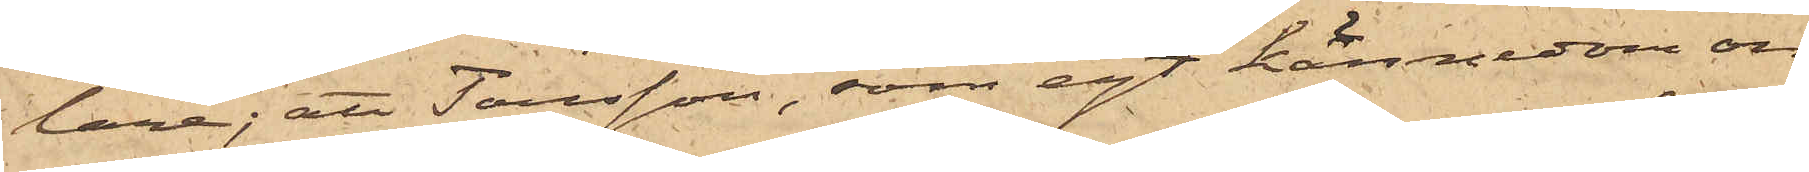lare; att Tausson, som egt kännedom om
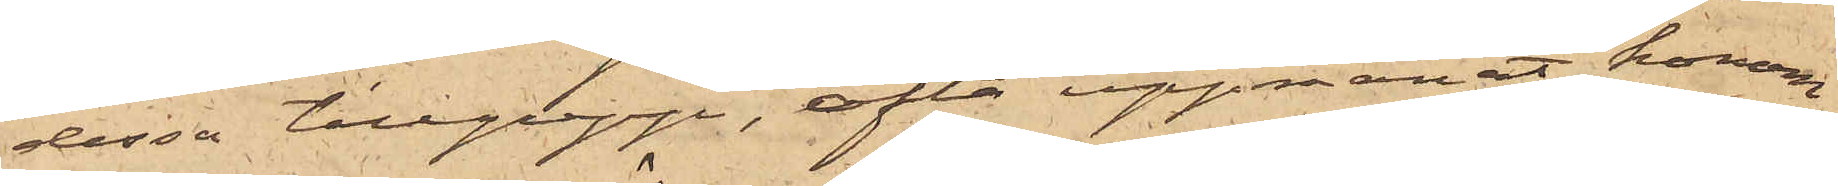dessa tillgrepp, ofta uppmanat honom
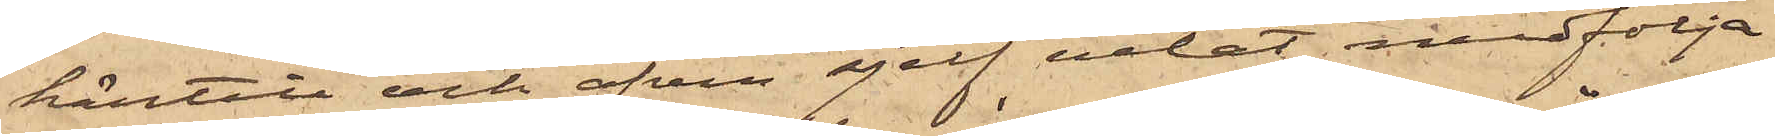härtill och äfven sjelf velat medfölja
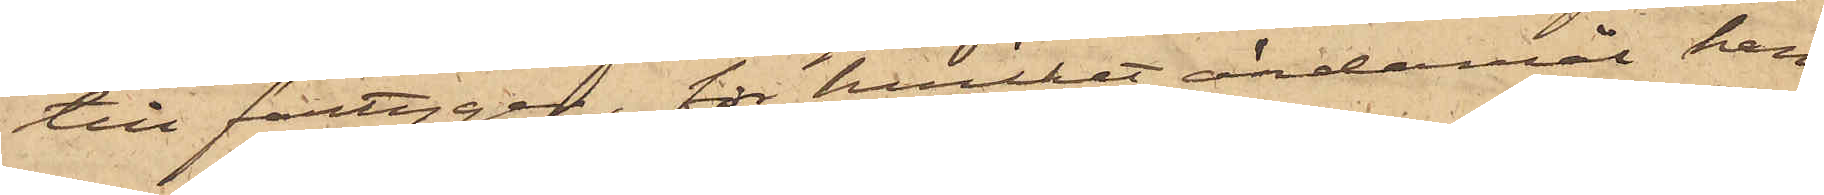till fartygen, för hvilket ändamål han
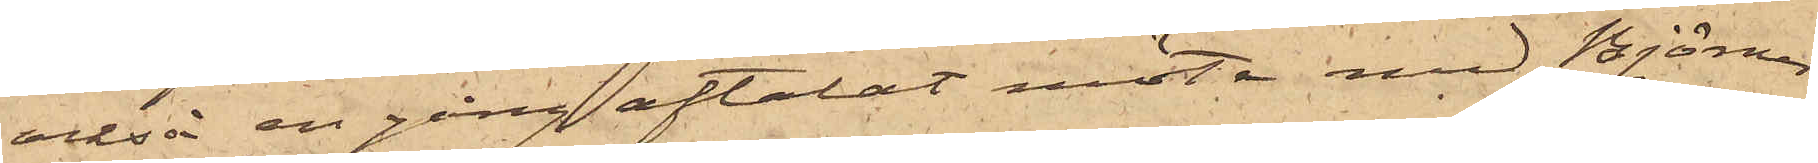också en gång aftalat möte med Björner
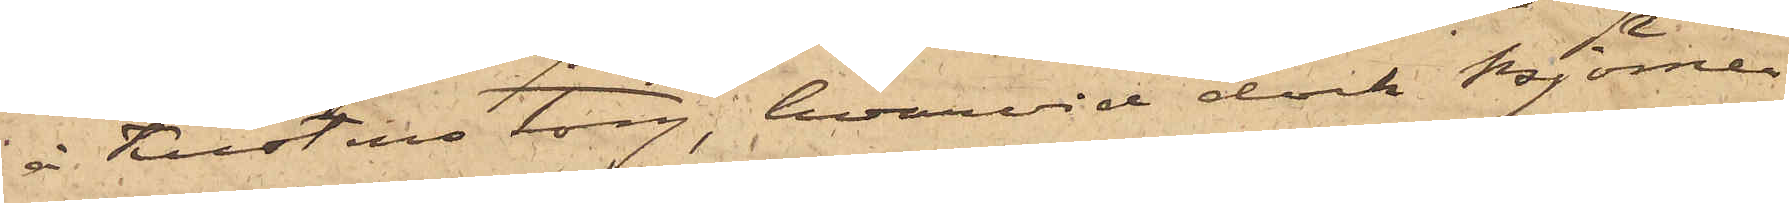å Kustens torg, hvarvid dock Björner
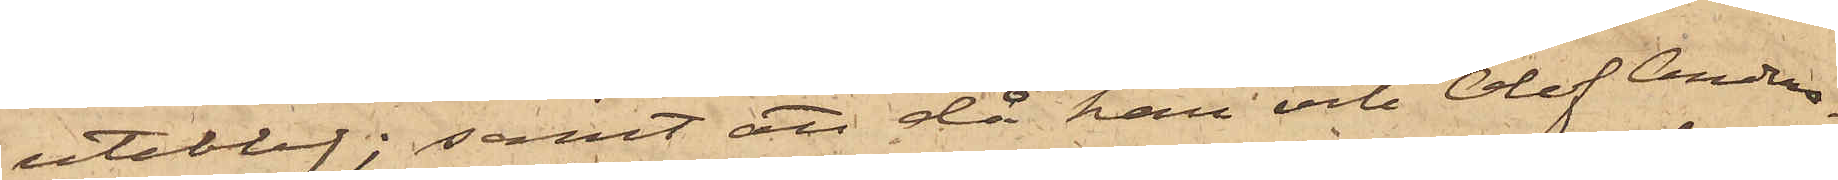uteblef; samt att då han och Olof Anders¬
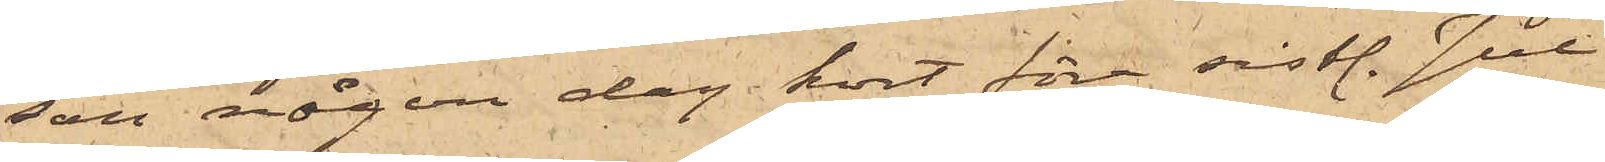son någon dag kort före sistl. Jul
